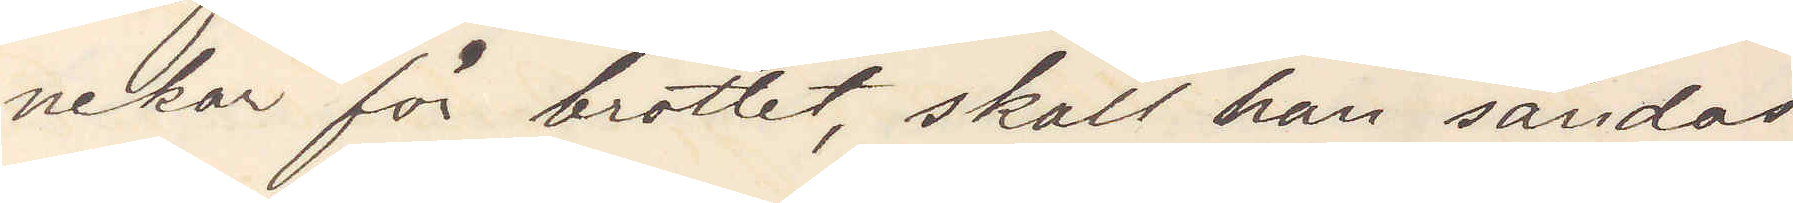nekar för brottet, skall han sändas
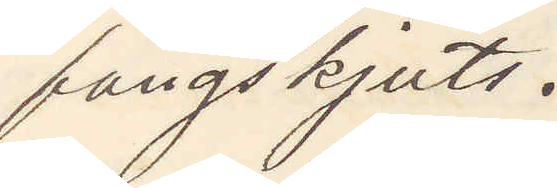fångskjuts.
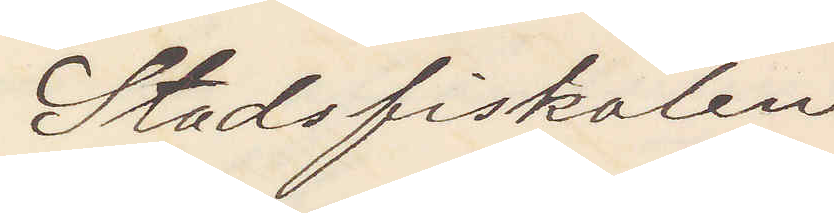Stadsfiskalen
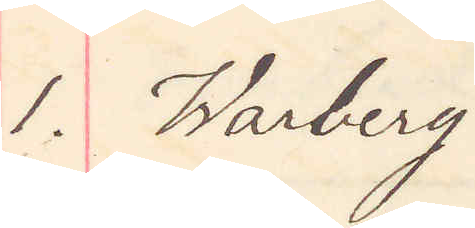1. Warberg
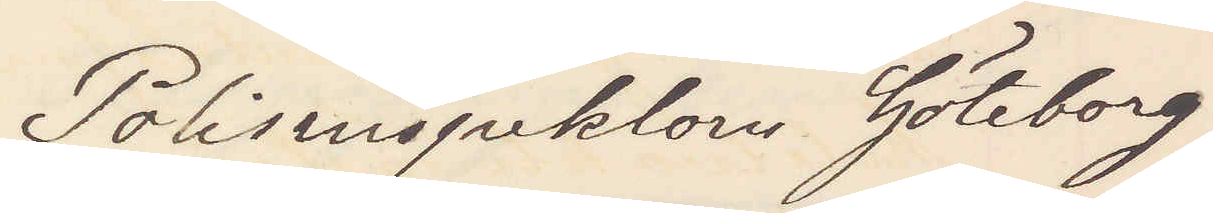Polisinspektorn Göteborg
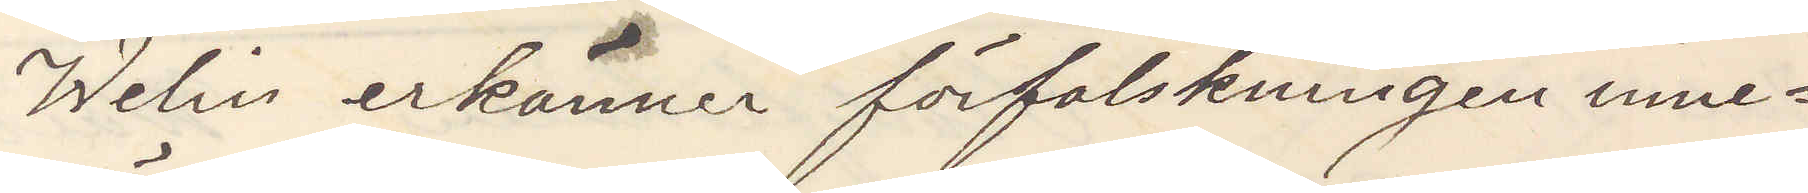Welin erkänner förfalskningen inne¬
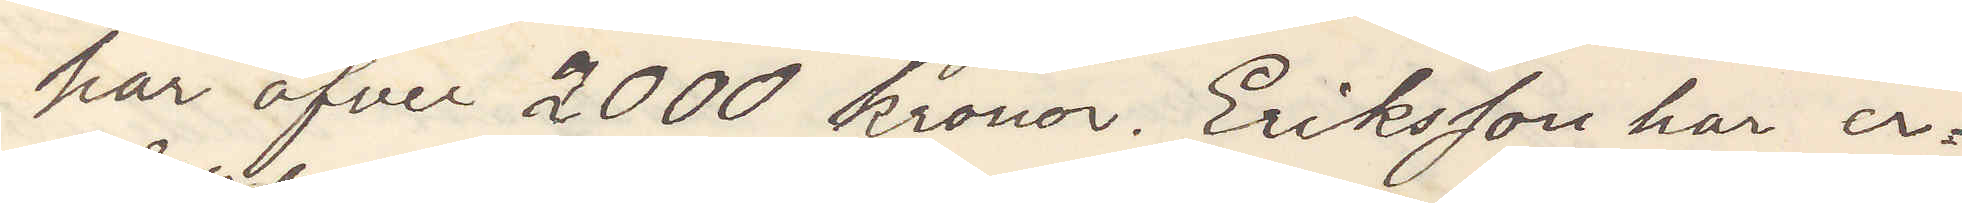har öfver 2000 kronor. Eriksson har er¬
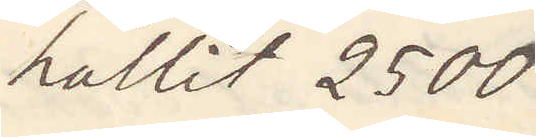hållit 2500
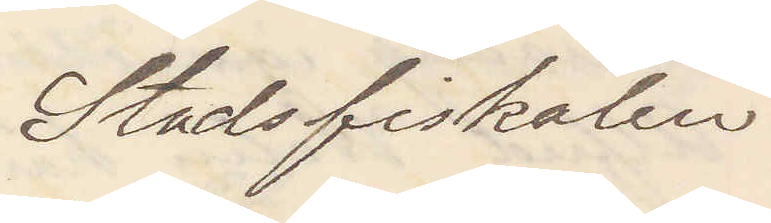Stadsfiskalen
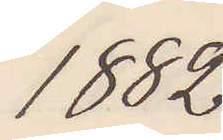1882
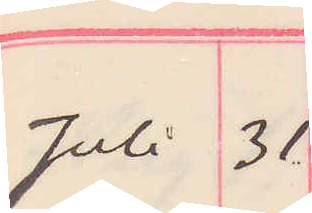Juli 31.
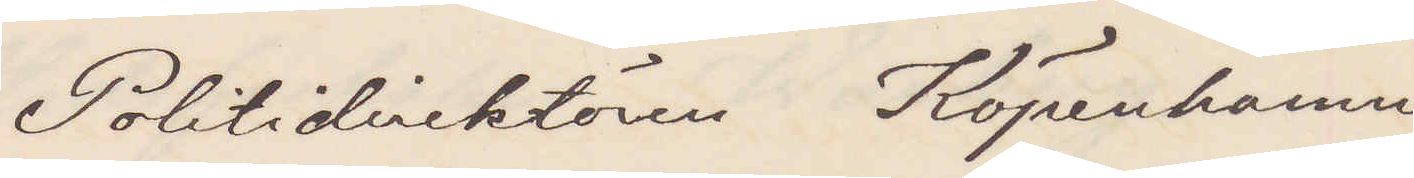Politidirektören Köpenhamn
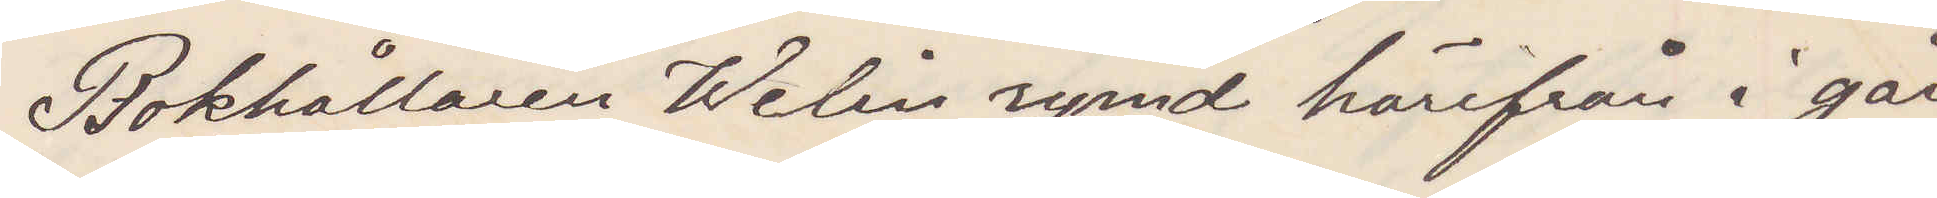Bokhållaren Welin rymd härifrån i går
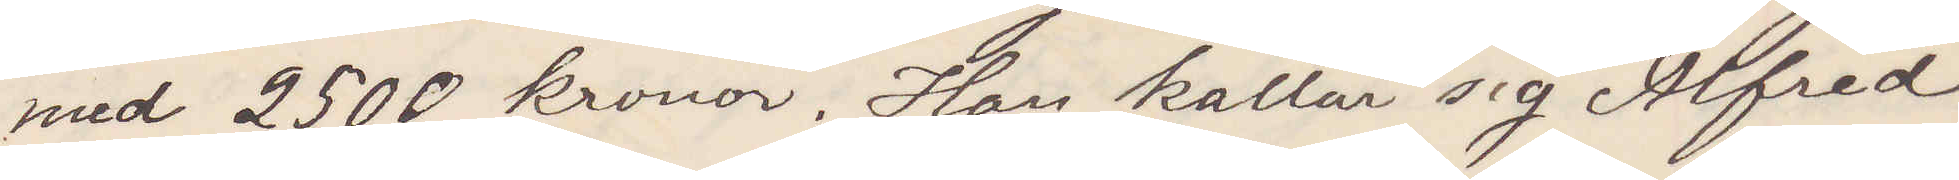med 2500 kronor. Han kallar sig Alfred
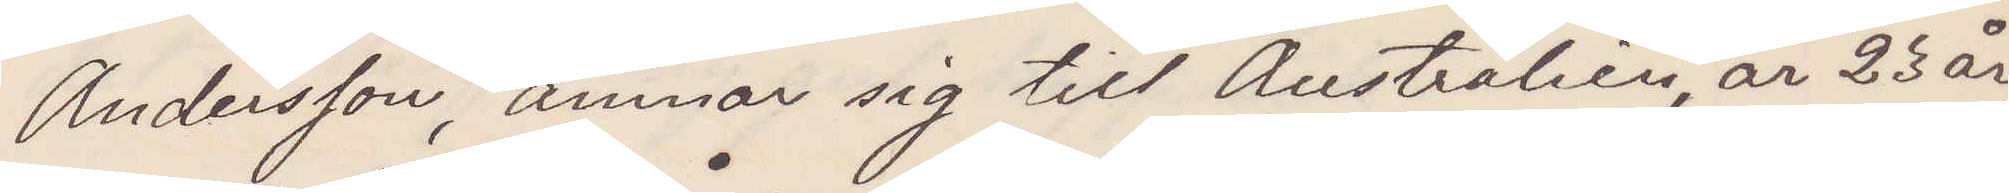Andersson, ämnar sig till Australien, är 23 år,
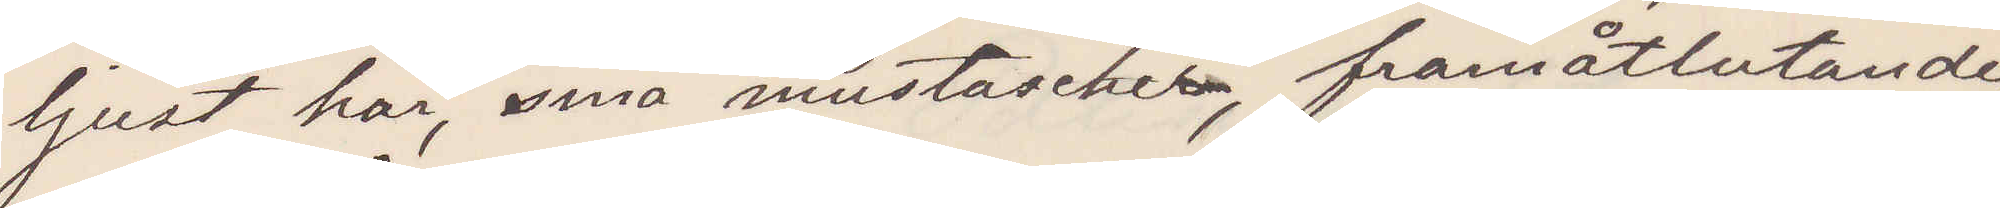ljust hår, små mustascher, framåtlutande,
